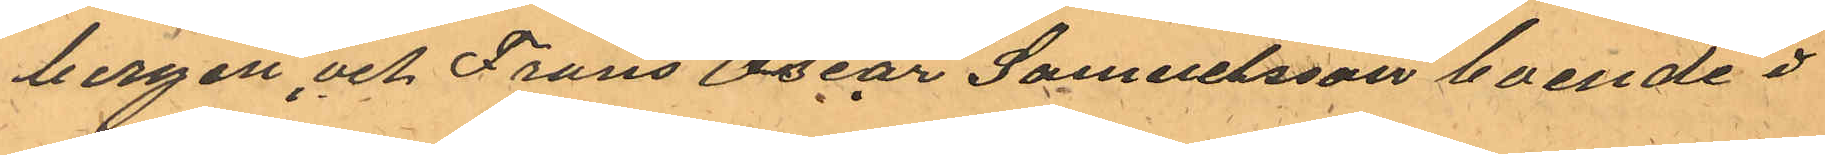bergen, och Frans Oscar Samuelsson boende
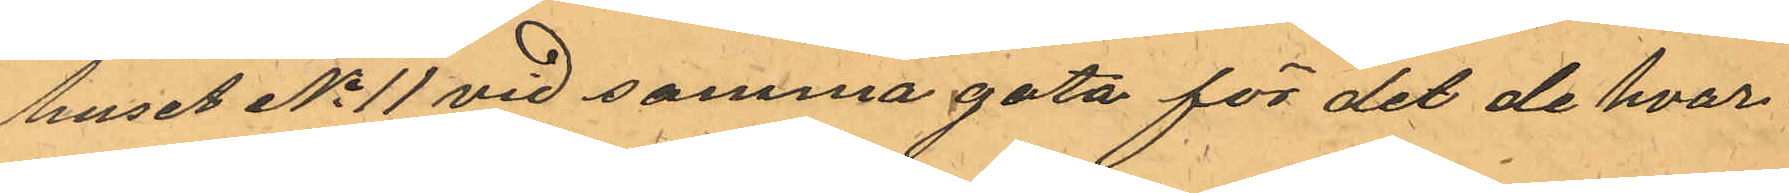huset No 11 vid samma gata för det de hvar¬
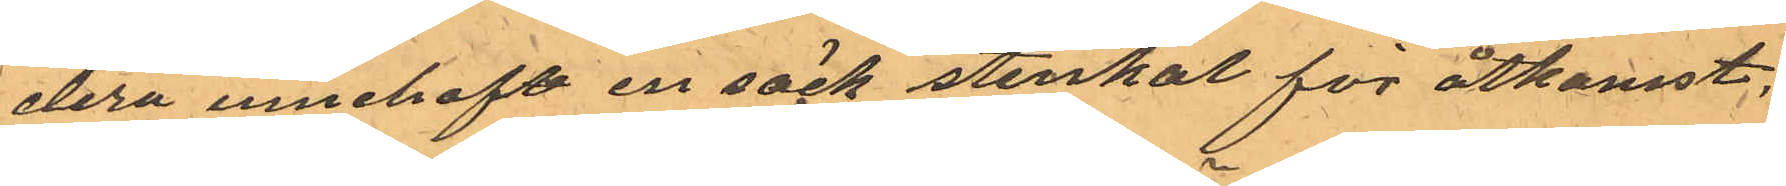dera innehaft en säck stenkol för åtkomst,
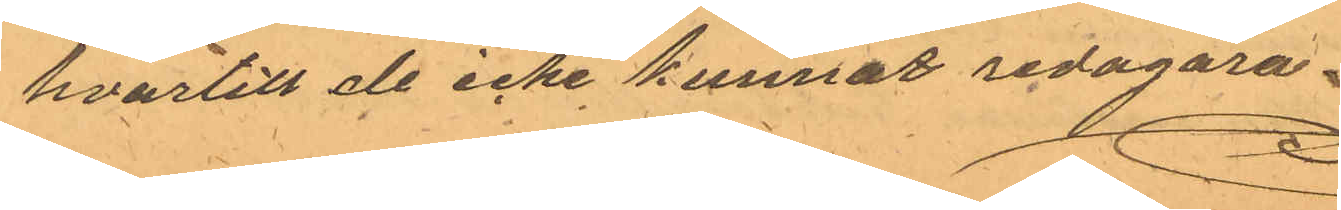hvartill de icke kunnat redogöra.
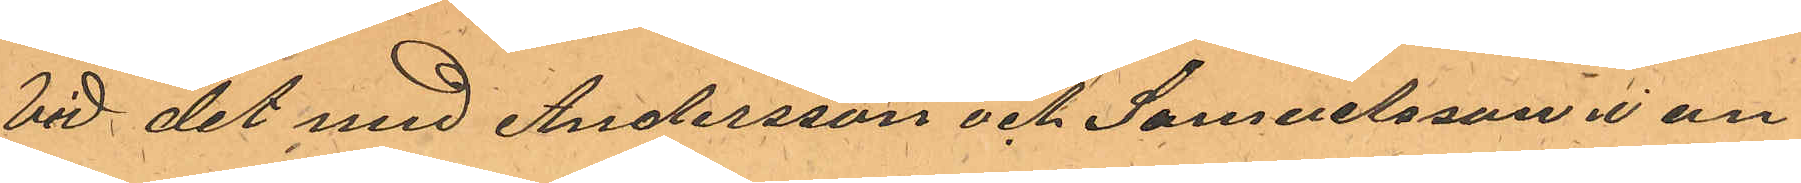Vid det med Andersson och Samuelsson i an¬
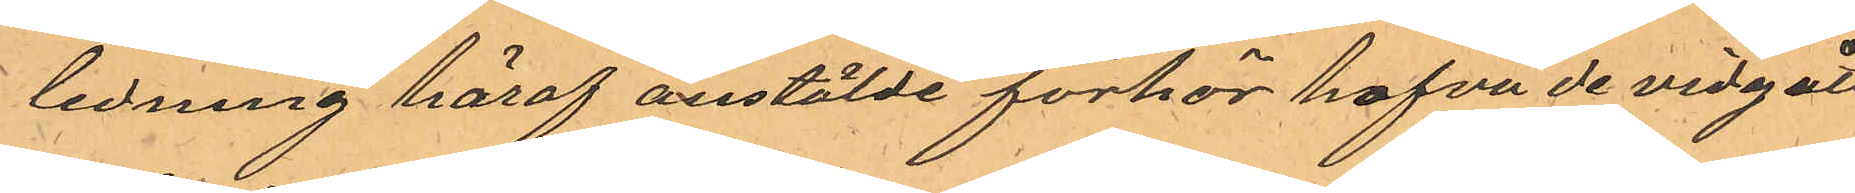ledning häraf anstälde förhör hafva de vidgått
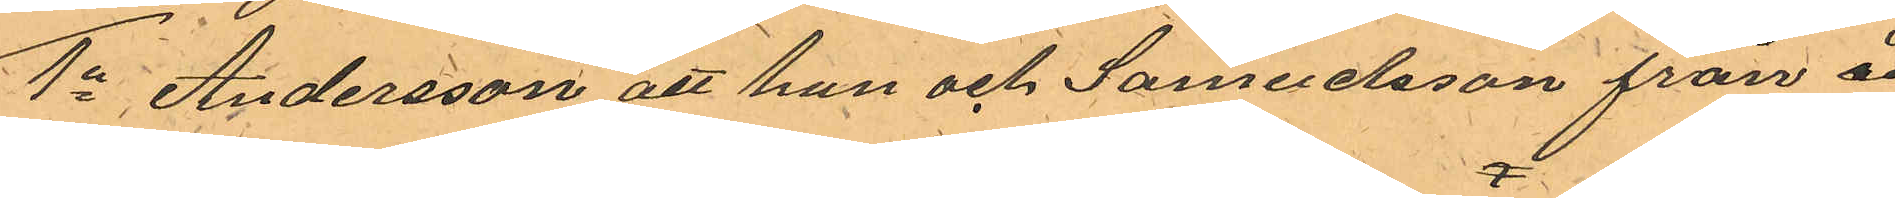1o Andersson att han och Samuelsson från å
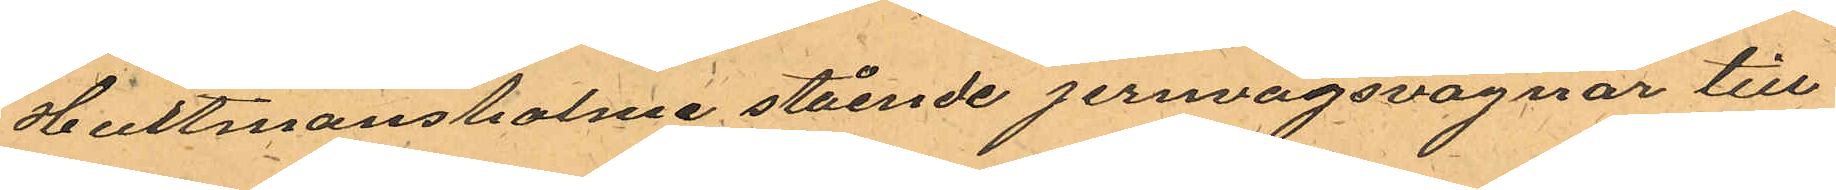Hultmansholme stående jernvägsvagnar till¬
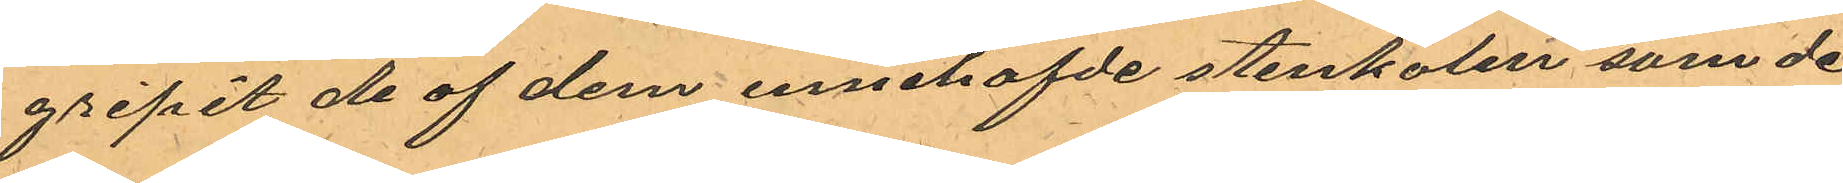gripit de af dem innehafde stenkolen som de
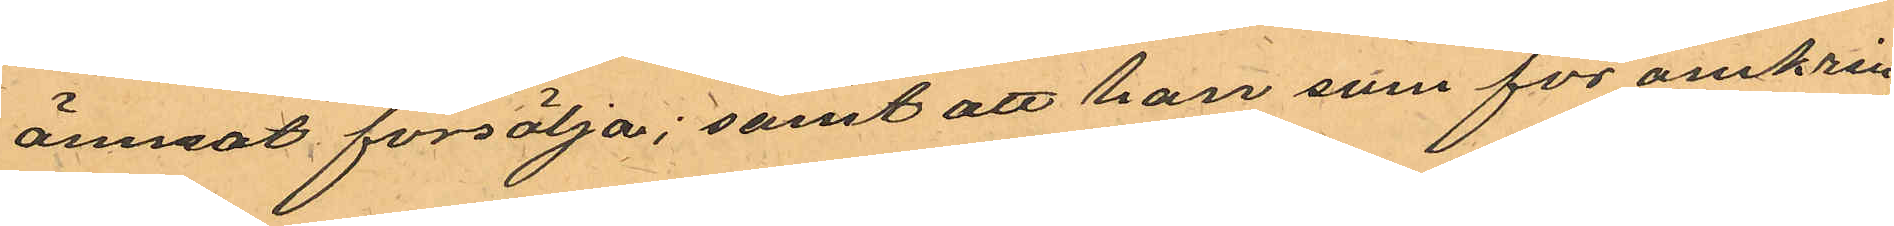ämnat försälja; samt att han som för omkring
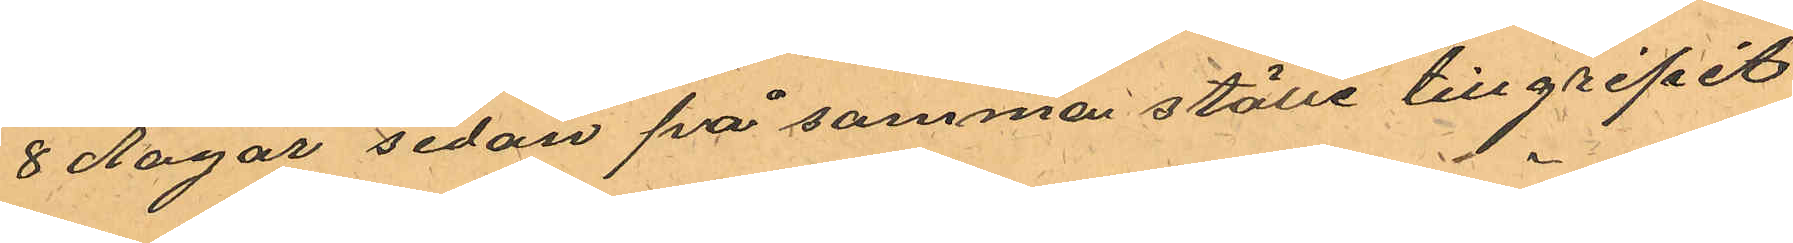8 dagar sedan på samma ställe tillgripit
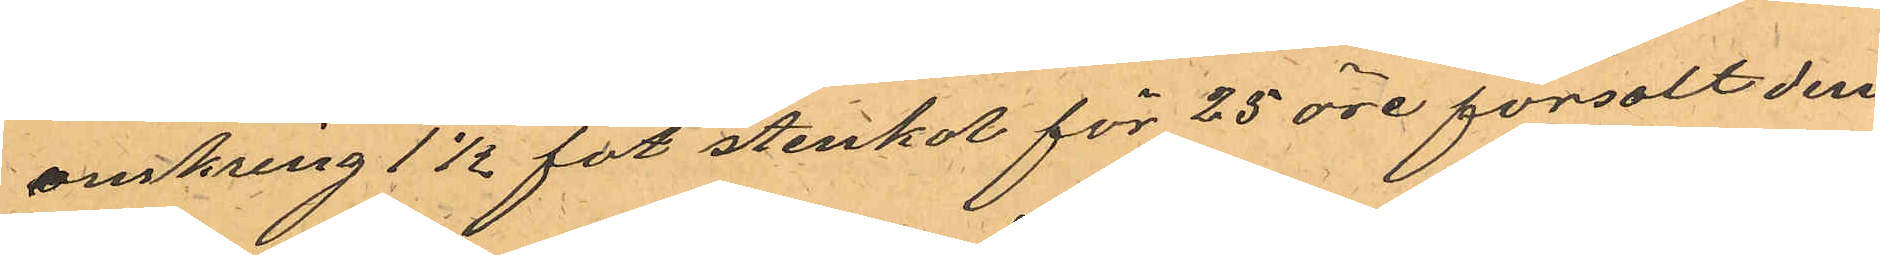omkring 1 1/2 fot stenkol för 25 öre försolt dem
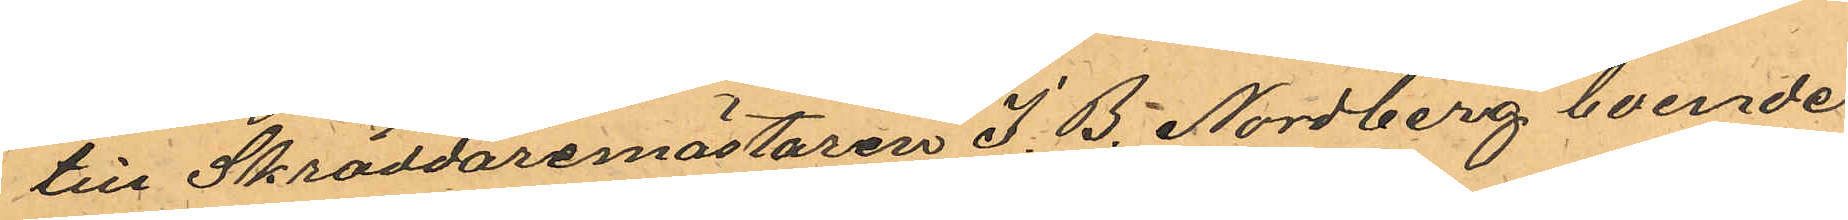till Skräddaremästaren J. B. Nordberg boende 
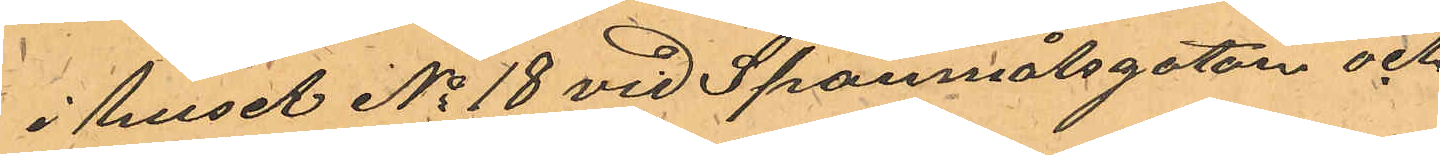i huset No 18 vid Spannmålsgatan och
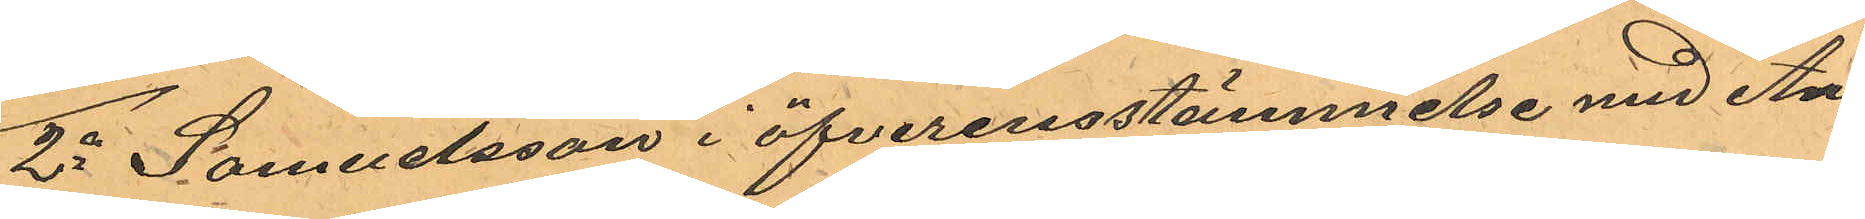2o Samuelsson i öfverenstämmelse med An¬
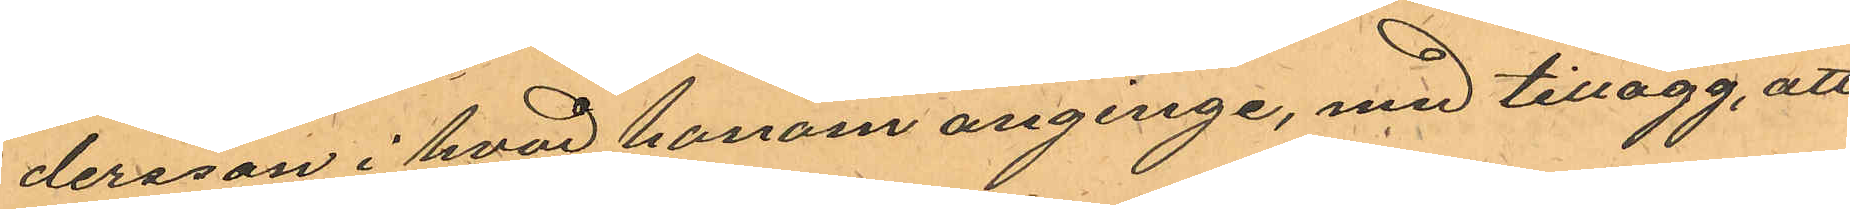dersson i hvad honom anginge, med tillägg, att
